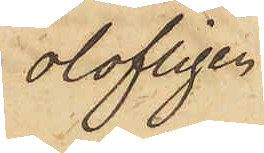olofligen
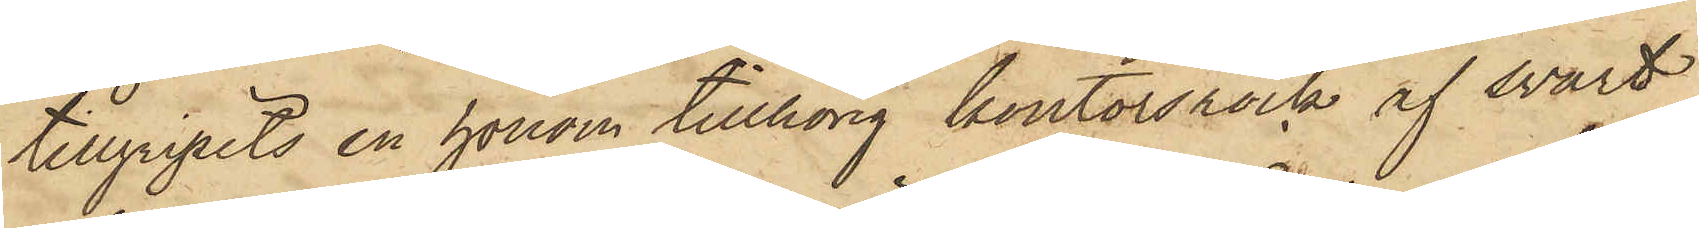tillgripits en honom tillhörig kontorsrock af svart
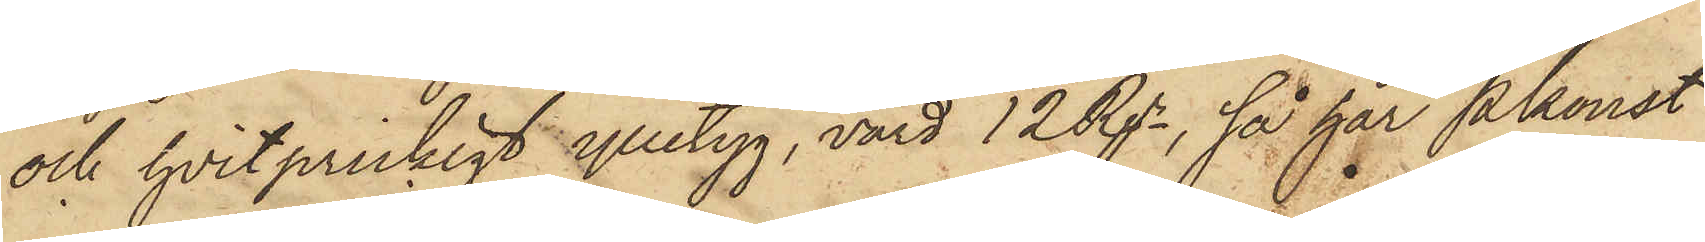och hvitprickigt ylletyg, värd 12 Rgr, så har Pkonst
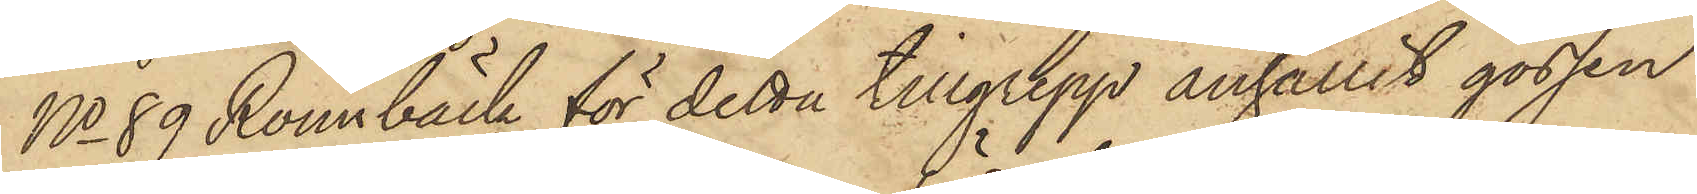No 89 Rönnbäck för detta tillgrepp anhållit gossen
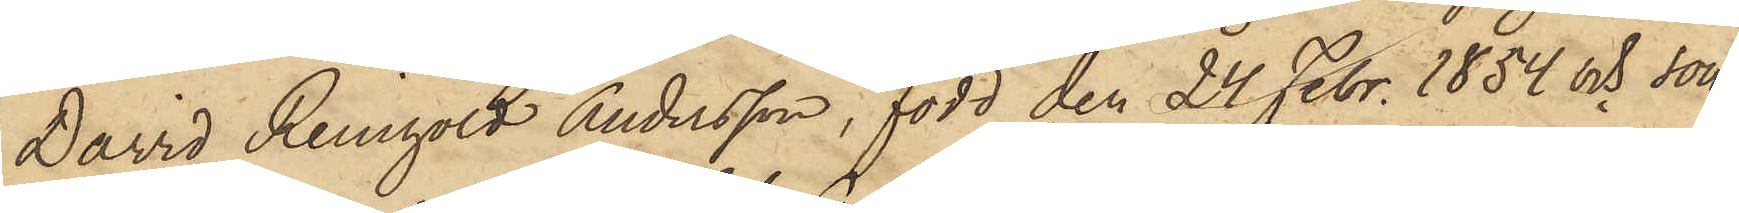David Reinhold Andersson, född den 24 Febr. 1854 och son
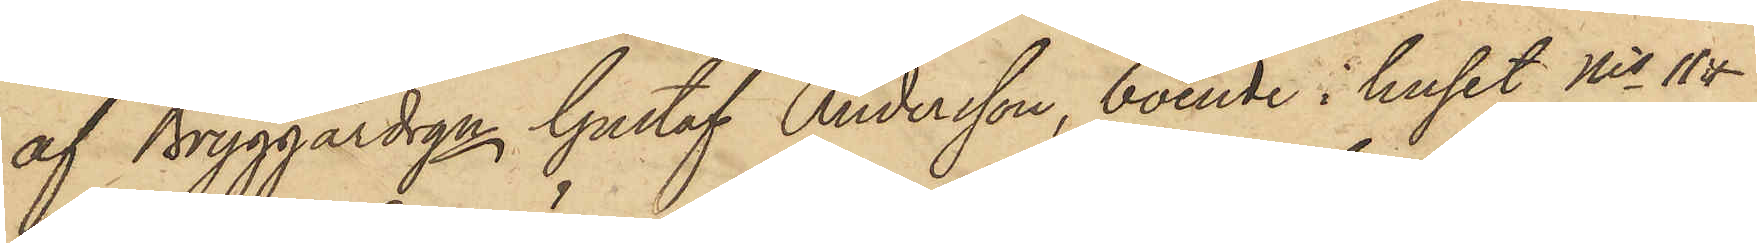af Bryggardrgn Gustaf Andersson, boende i huset Nis 11 &
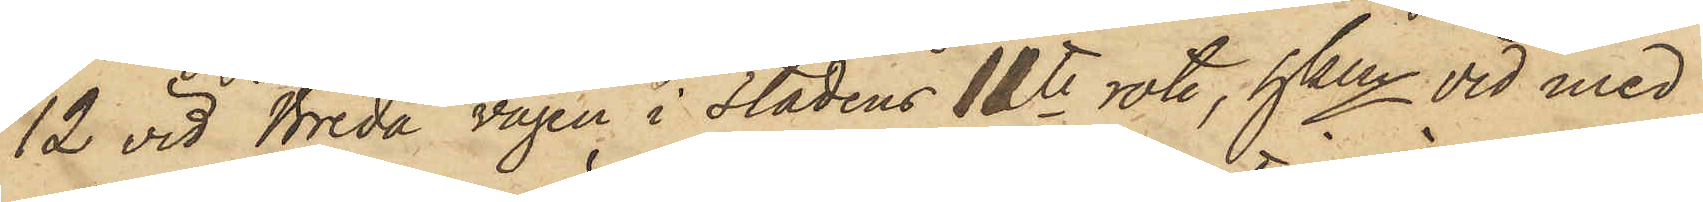12 vid Breda vägen i Stadens 11te rote, hken vid med
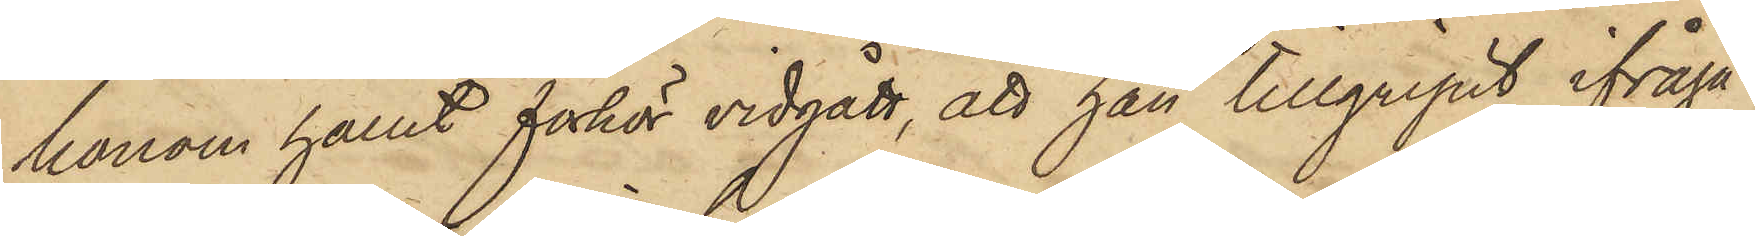honom hållet förhör vidgått, att han tillgripit ifråga¬
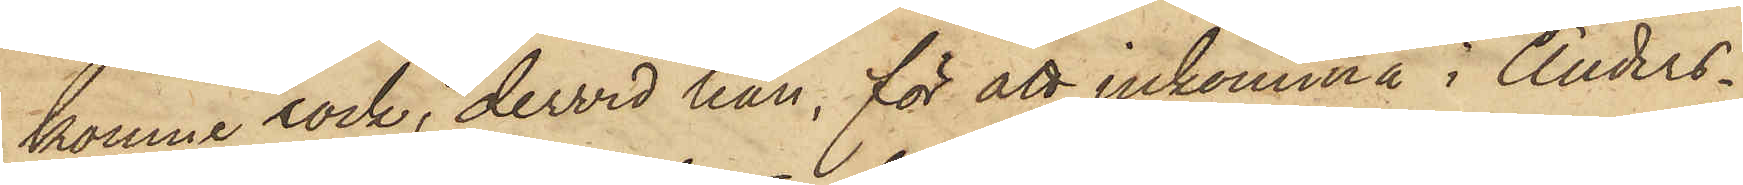komne rock, dervid han, för att inkomma i Anders¬
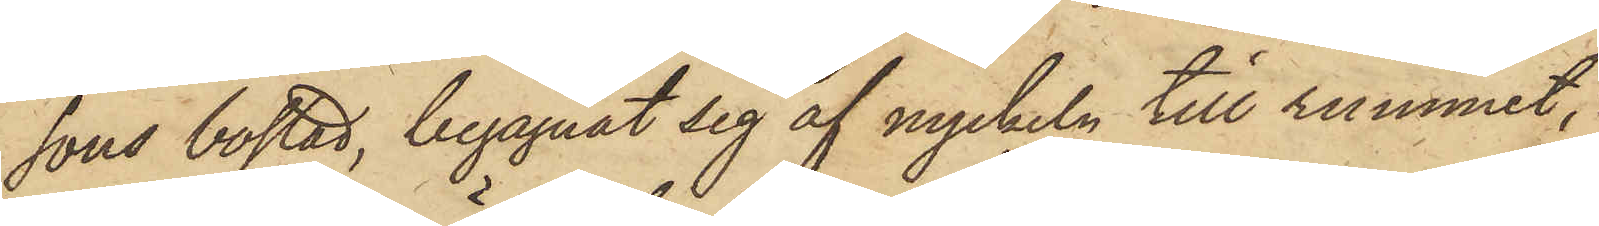sons bostad, begagnat sig af nyckeln till rummet,
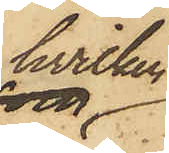hvilken
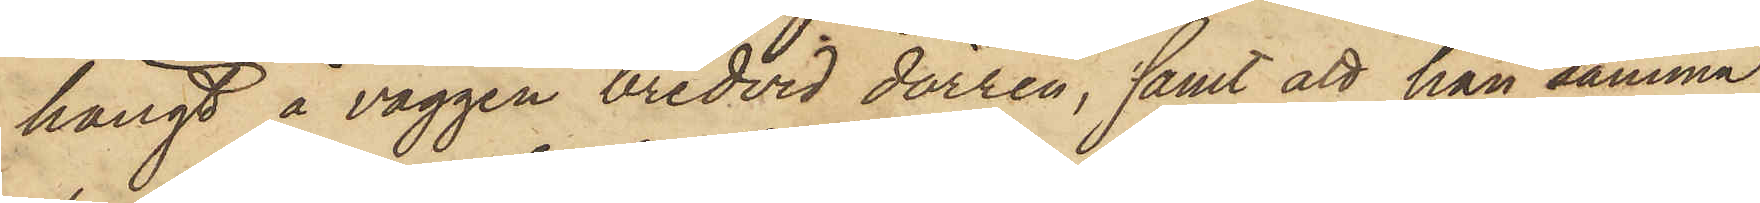hängt å väggen bredvid dörren, samt att han samma
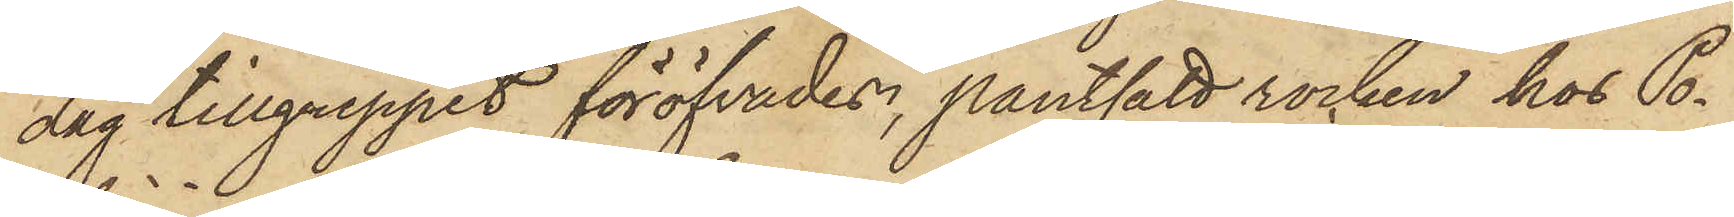dag tillgreppet föröfvades, pantsatt rocken hos Po¬
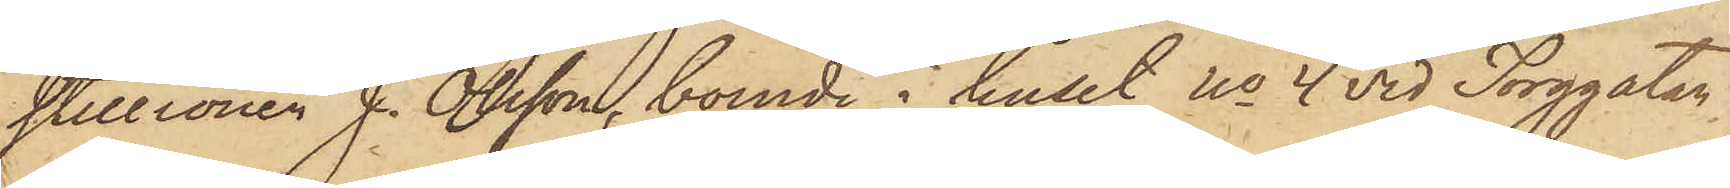stillionen J. Olsson, boende i huset No 4 vid Torggatan
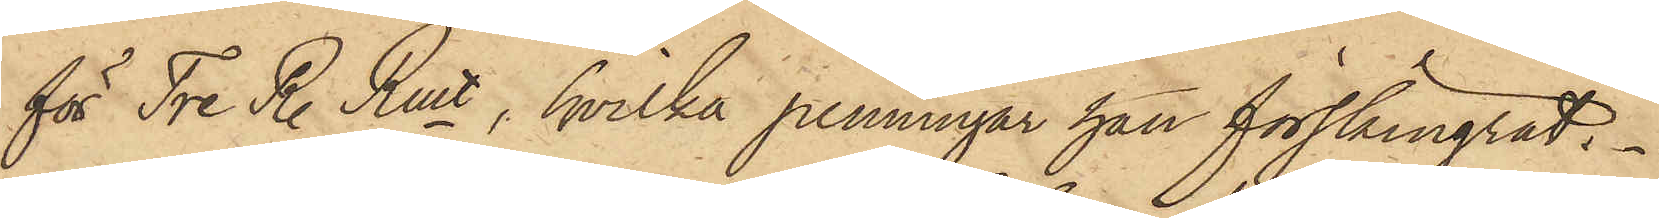för Tre R. Rmt, hvilka penningar han förskingrat.
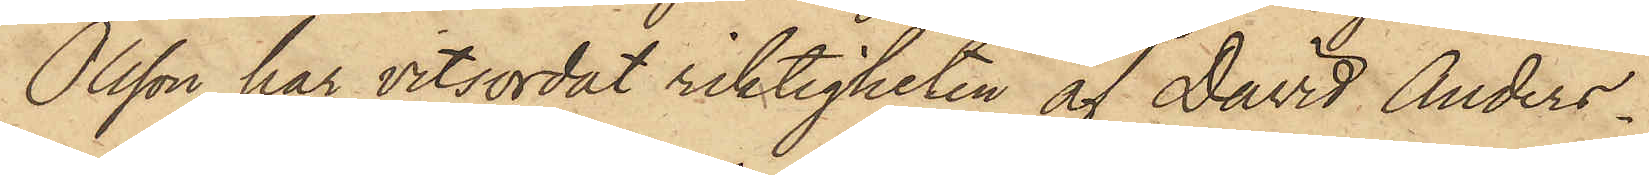Olsson har vitsordat riktigheten af David Anders¬
